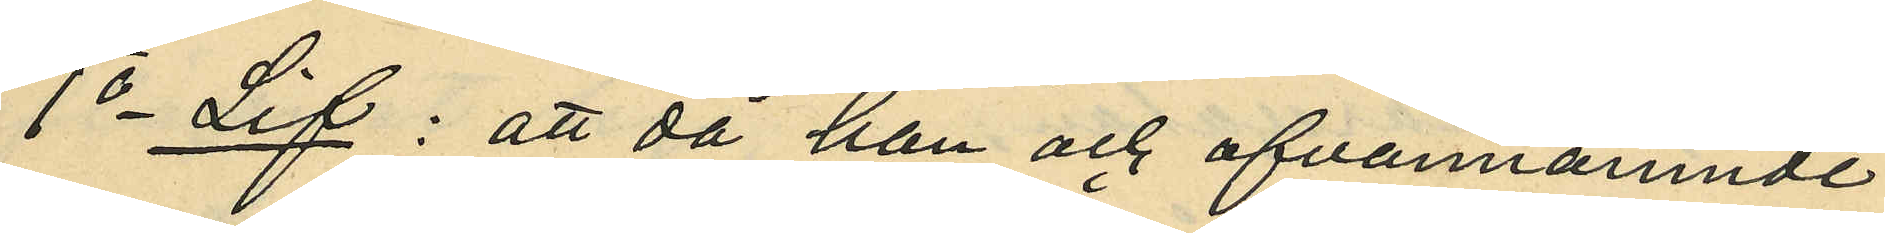1o Lif: att då han och ofvannämnde
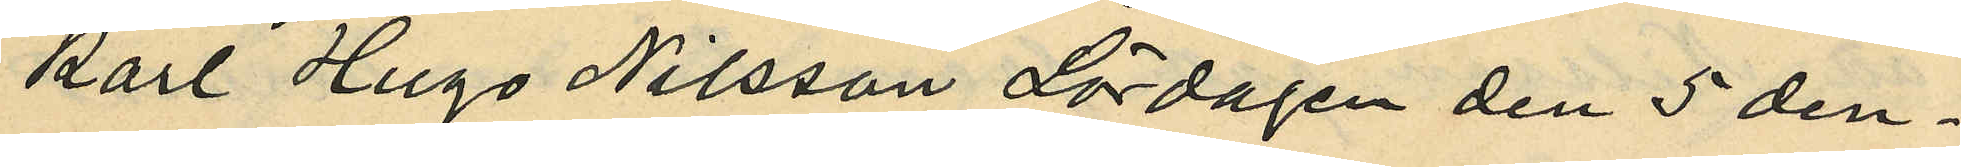Karl Hugo Nilsson Lördagen den 5 den¬
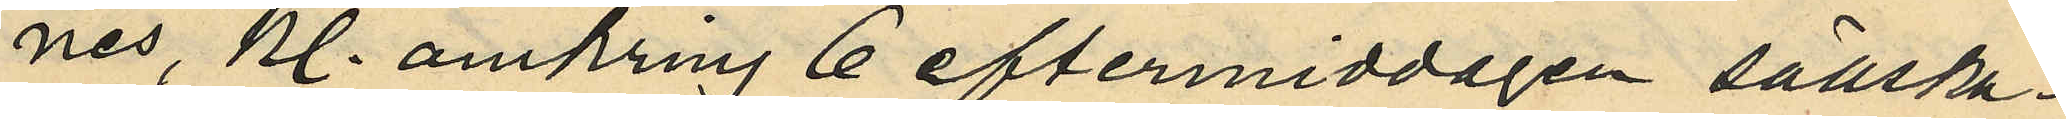nes, kl. omkring 6 eftermiddagen sällska¬
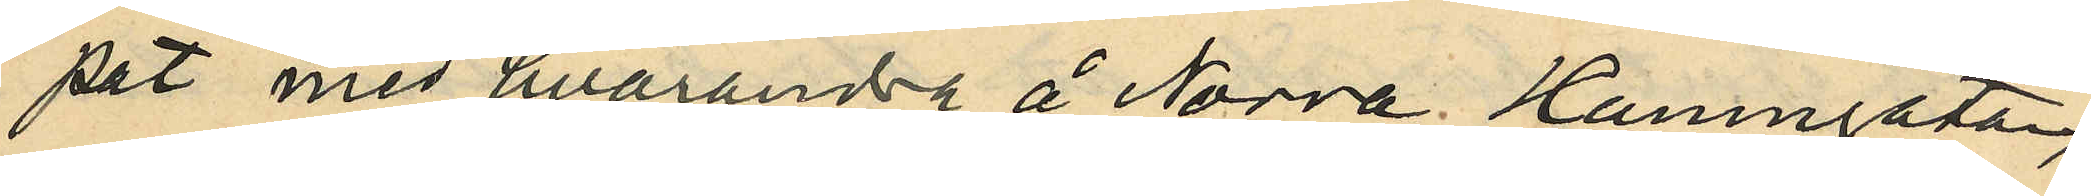pat med hvarandra å Norra Hamngatan,
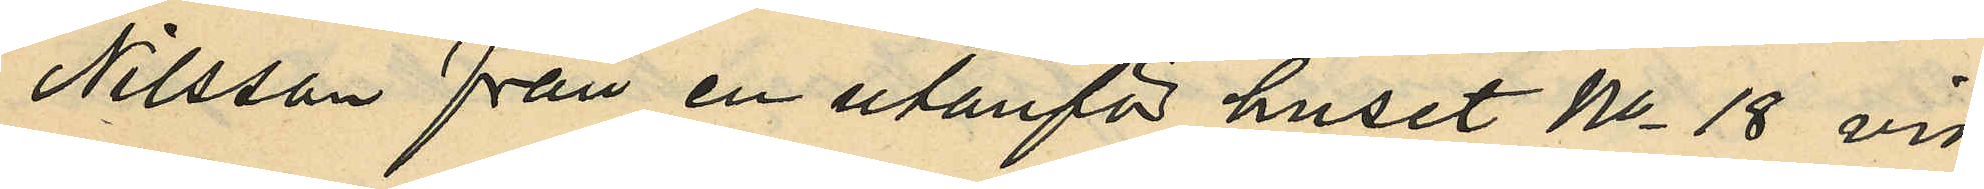Nilsson från en utanför huset No 18 vid
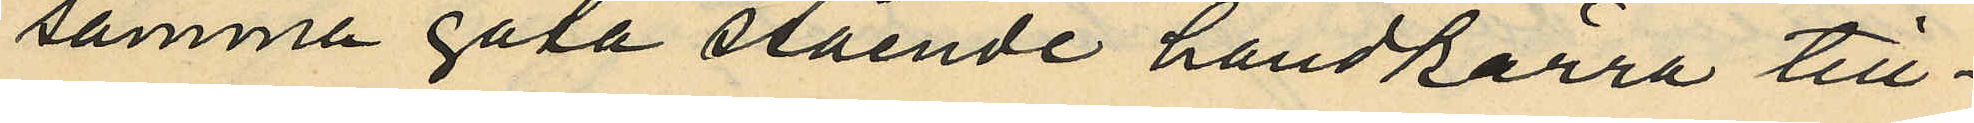samma gata stående handkärra till¬
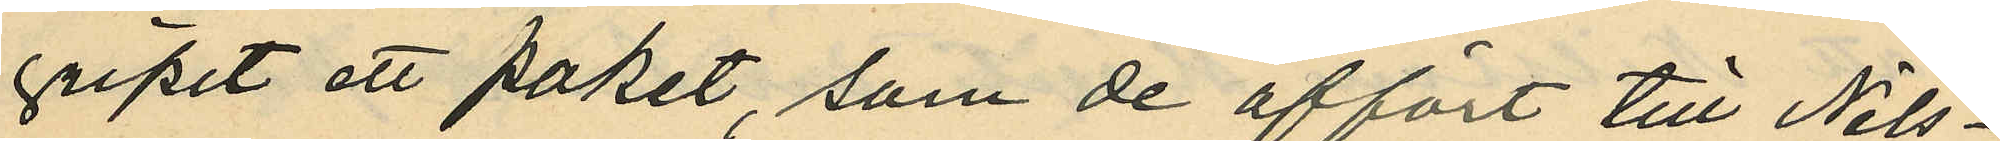gripit ett paket, som de affört till Nils¬
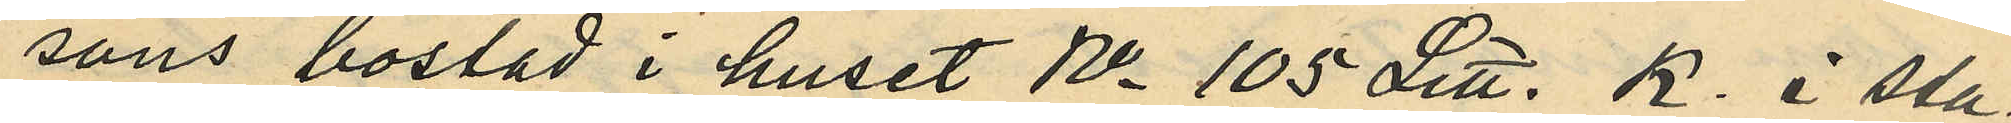sons bostad i huset No 105 Litt. B. i sta¬
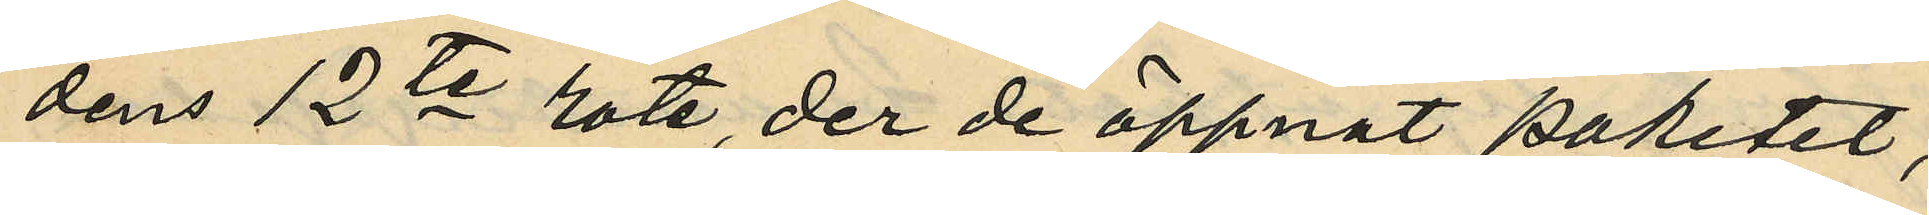dens 12te rote, der de öppnat paketet,
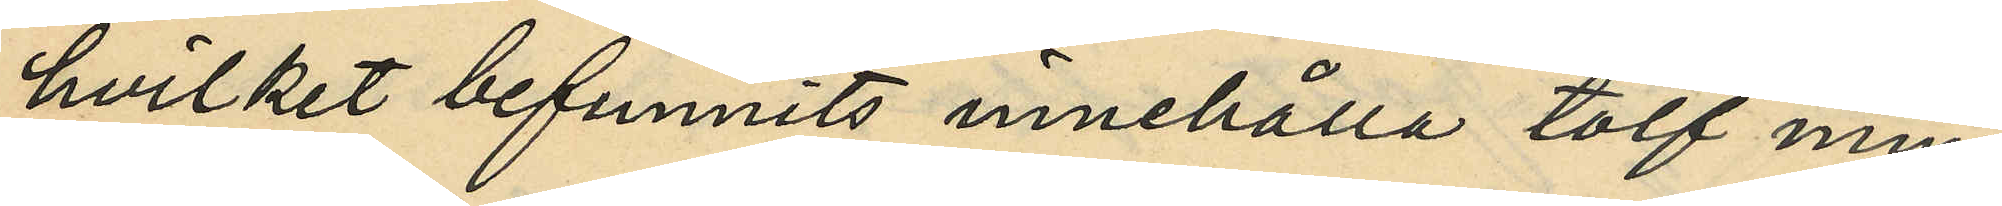hvilket befunnits innehålla tolf min¬
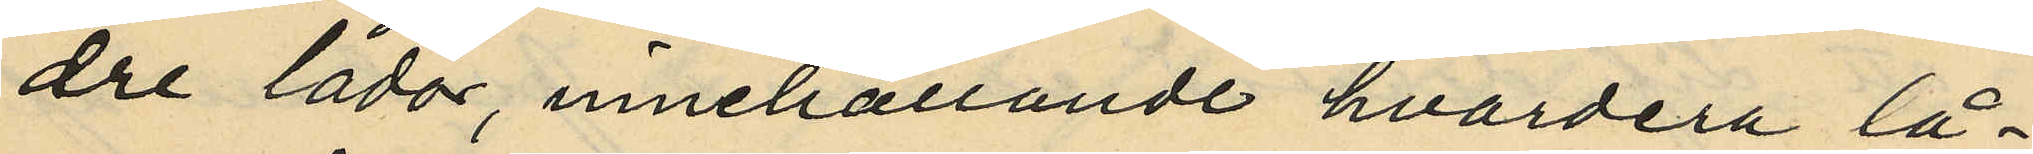dre lådor, innehållande hvardera lå¬
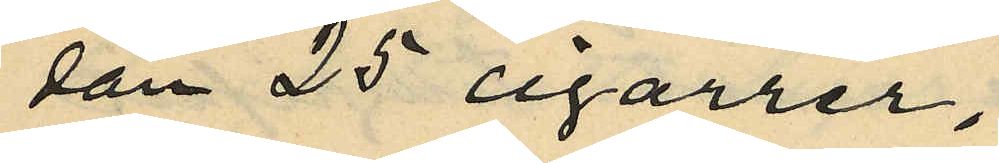dan 25 cigarrer;
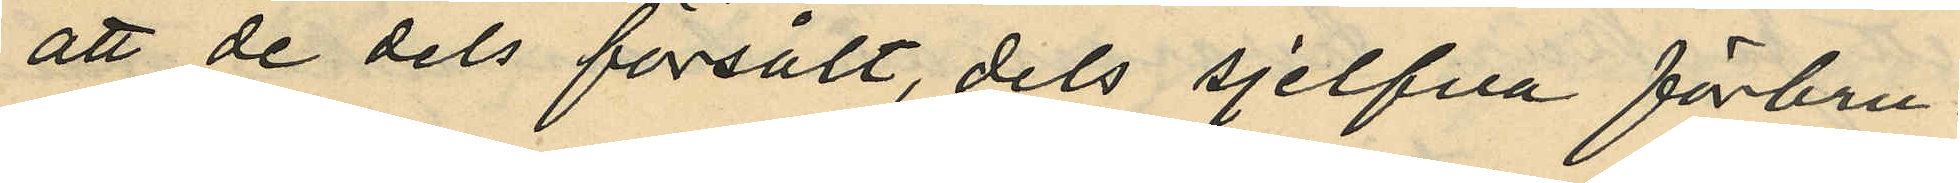att de dels försålt, dels sjelfva förbru¬
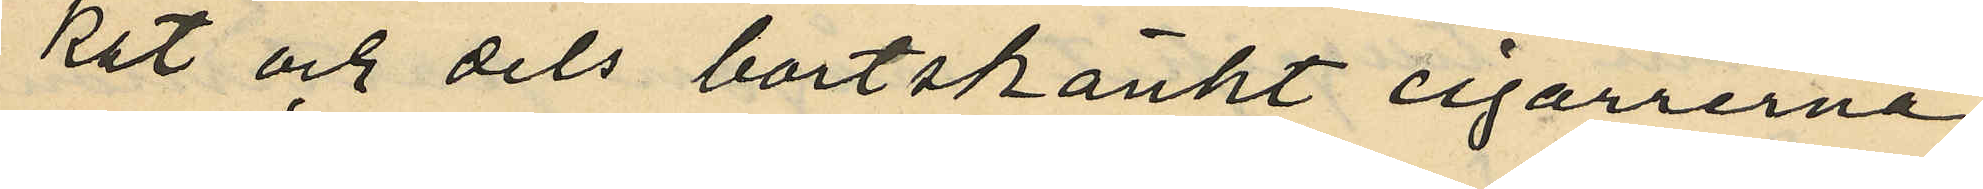kat och dels bortskänkt cigarrerna
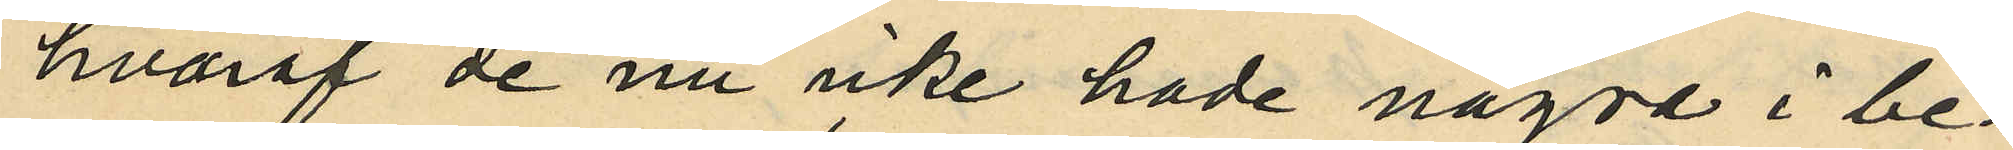hvaraf de nu icke hade några i be¬
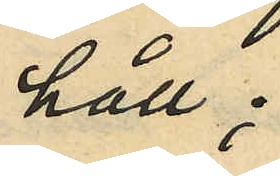håll;
